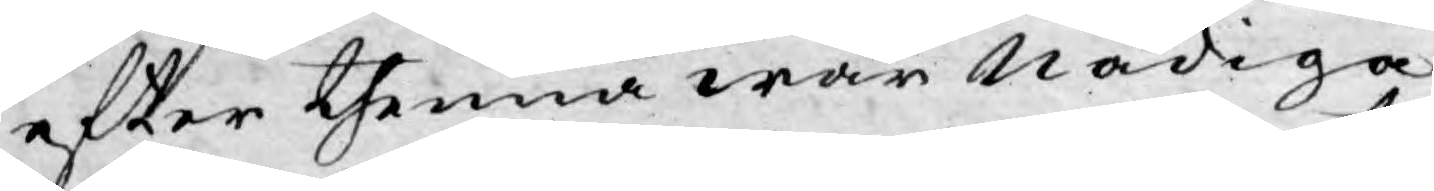efter thenna wår Nådiga
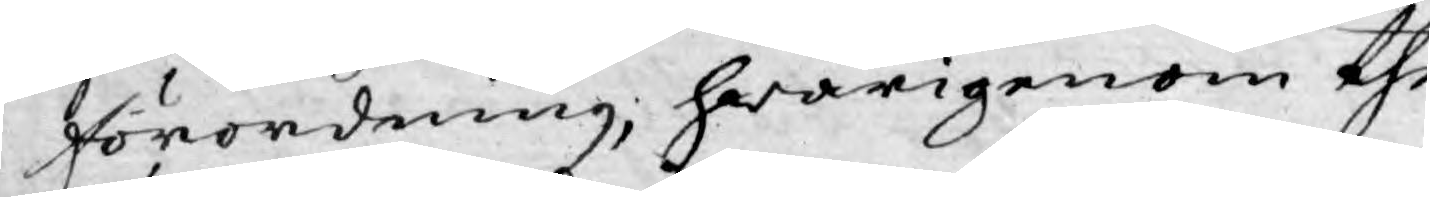Förordning; hwarigenom the
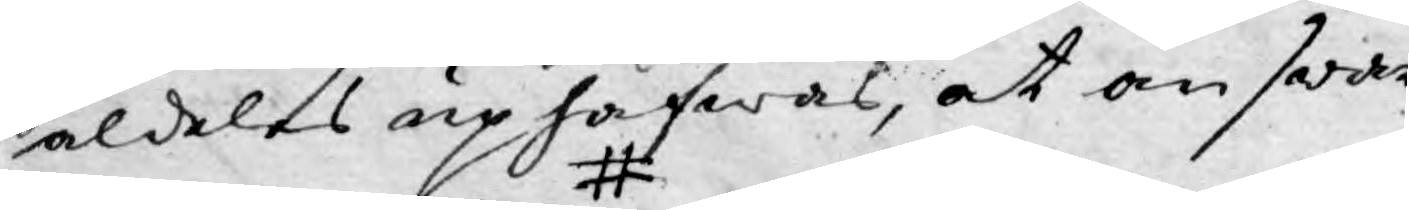aldeles uphäfwas, at answari¬
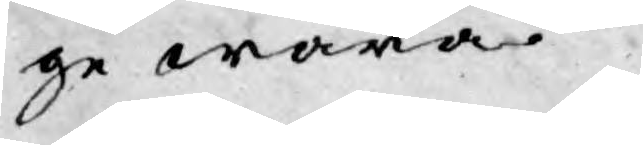ge wara.
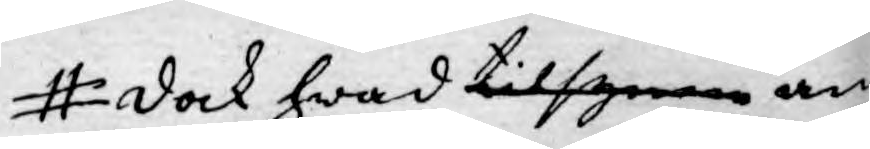dock hwad tilsynen an¬
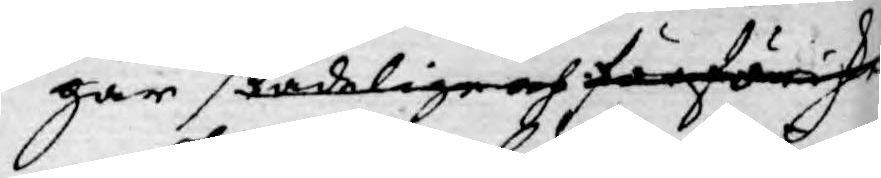går skadelige och förföriske
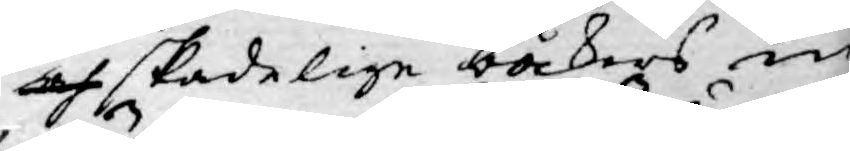och skadelige böckers in¬
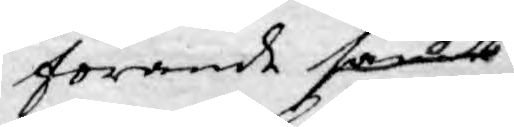förande samt
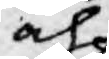och
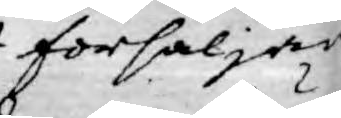försäljan¬
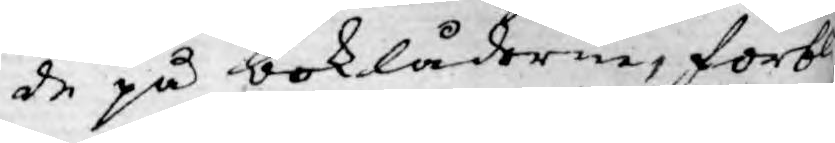de på boklådorne, förbli¬
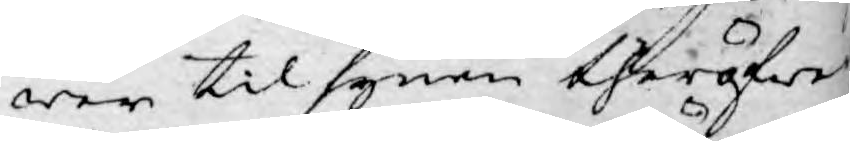wer tilsynen theröfwer
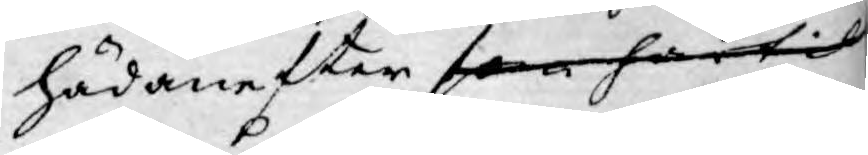hädanefter som härtil
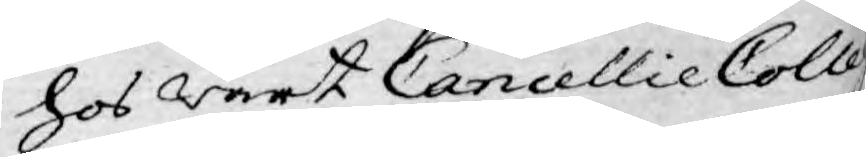hos wårt Cancellie Colleg¬
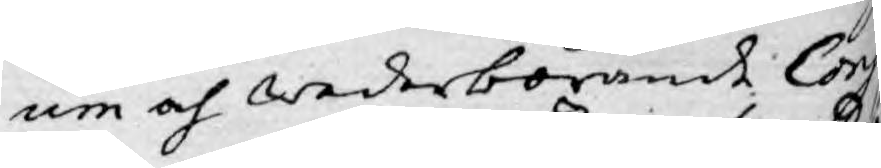um och wederbörande Cons¬
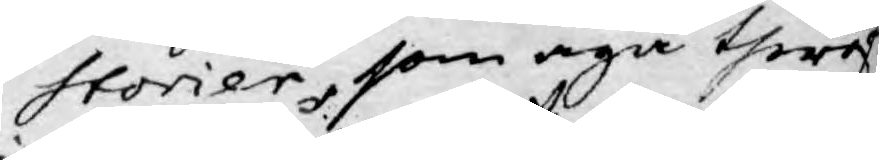storier, som äga thery
